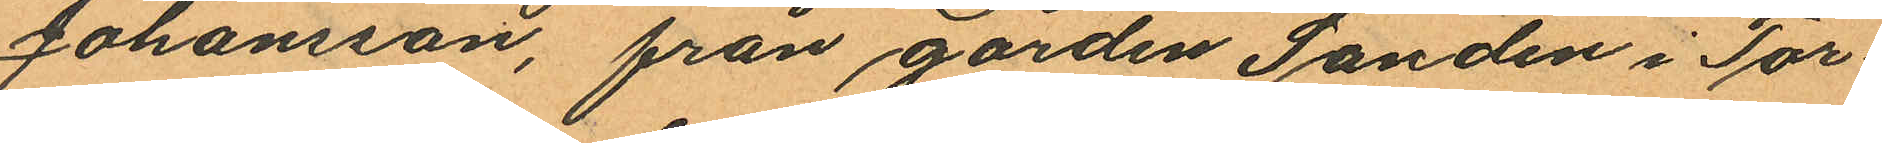Johansson, från gården Sanden i Tor¬
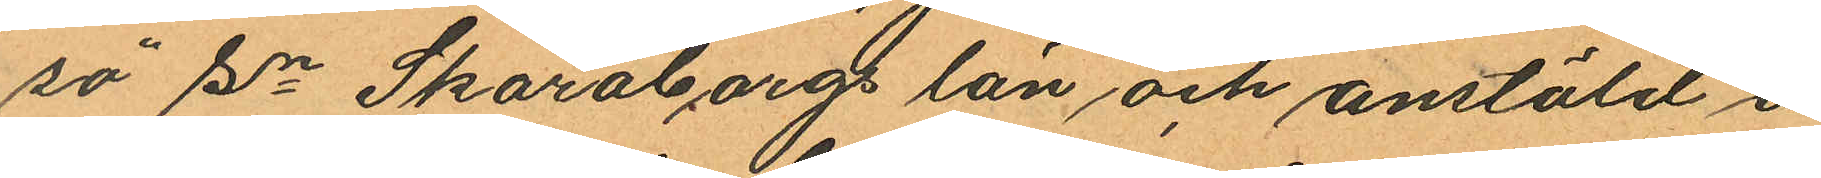sö Sn Skaraborgs län och anstäld å
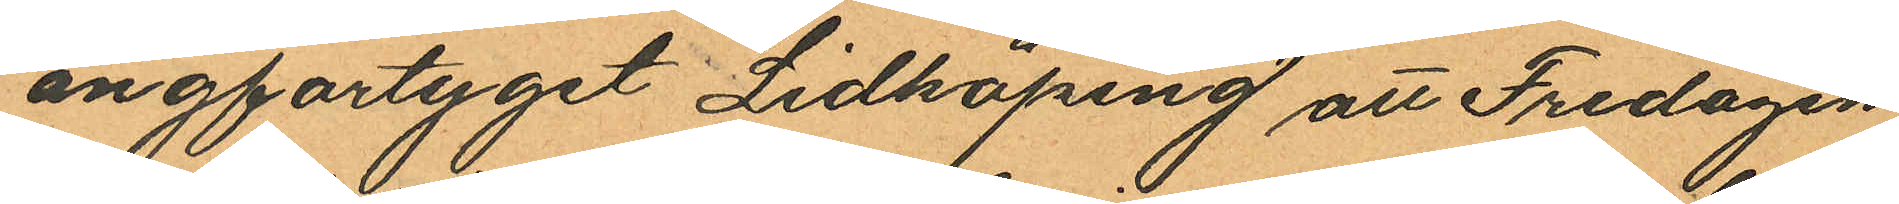ångfartyget Lidköping att Fredagen
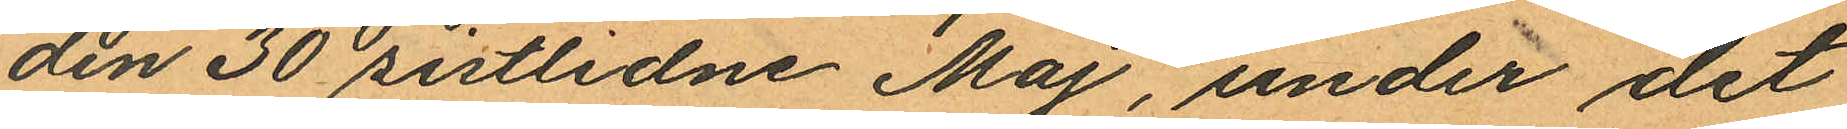den 30 sistlidne Maj, under det
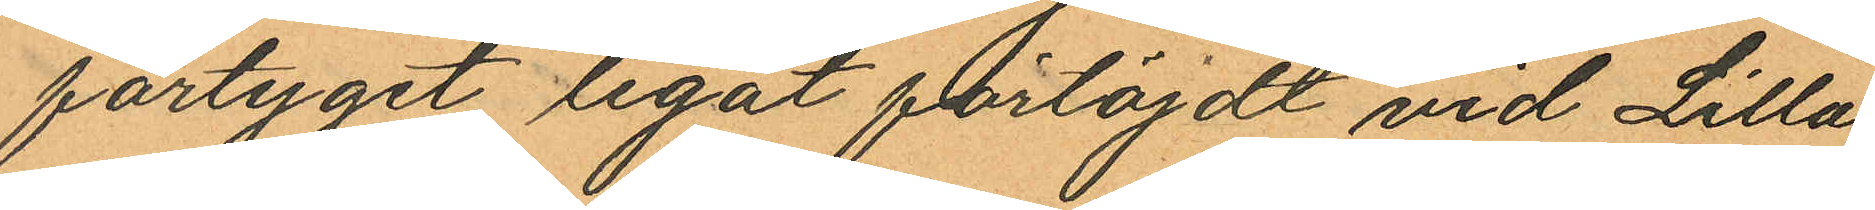fartyget legat förtöjdt vid Lilla
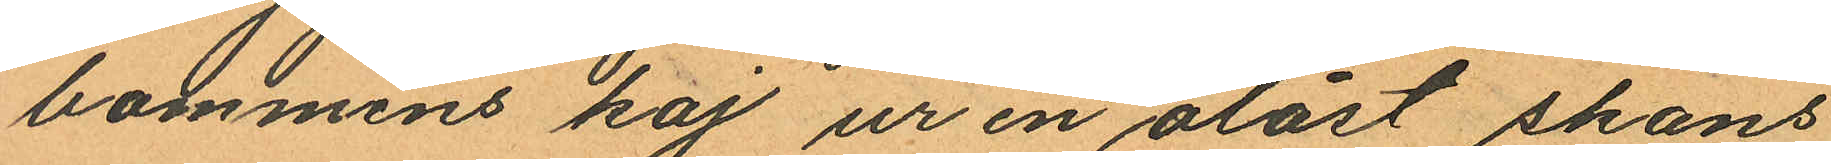bommens kaj ur en olåst skans
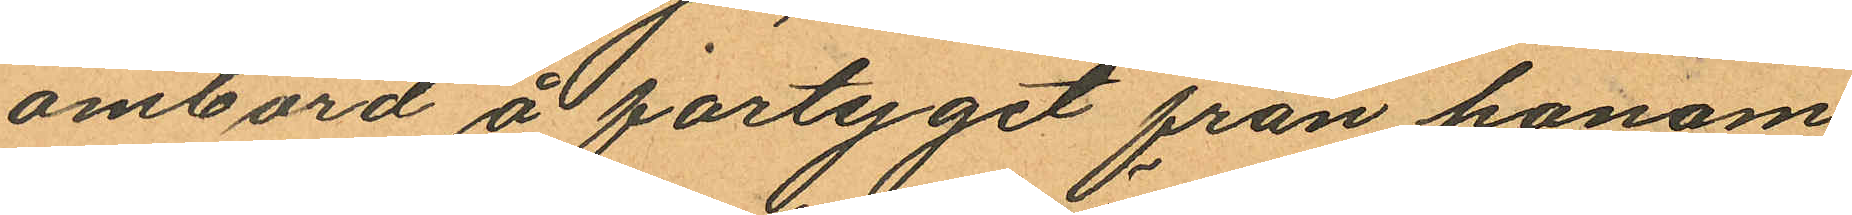ombord å fartyget från honom
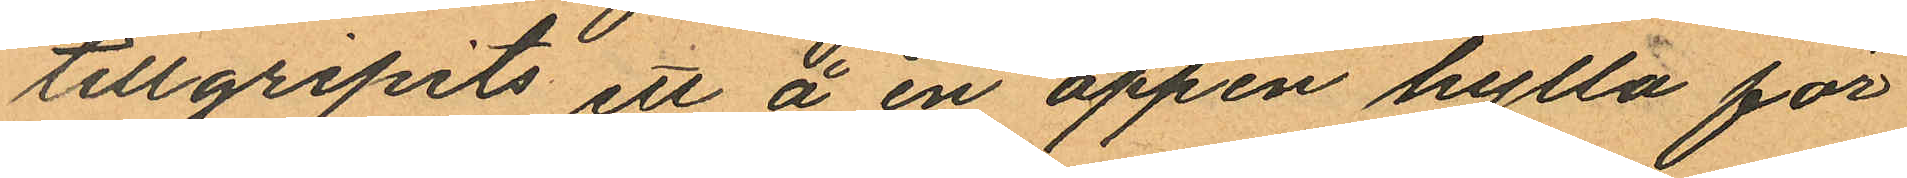tillgripits ett å en öppen hylla för
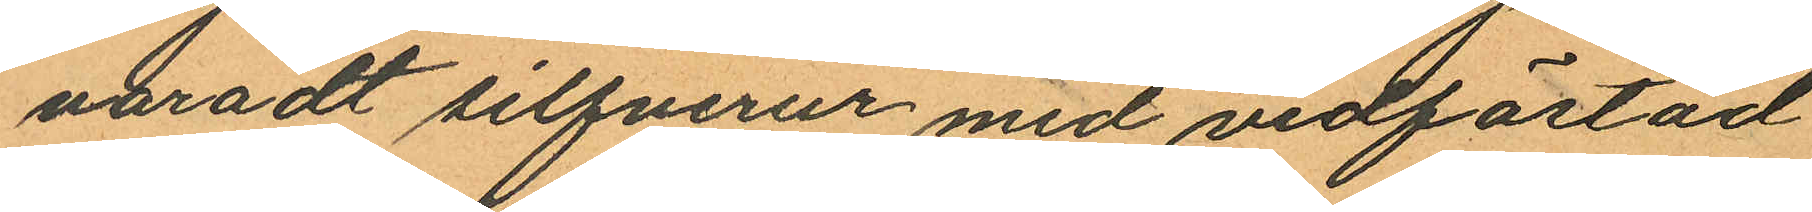varadt silfverur med vidfästad
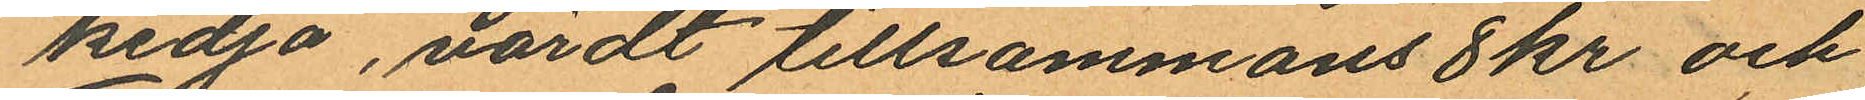kedja, värdt tillsammans 8 kr och
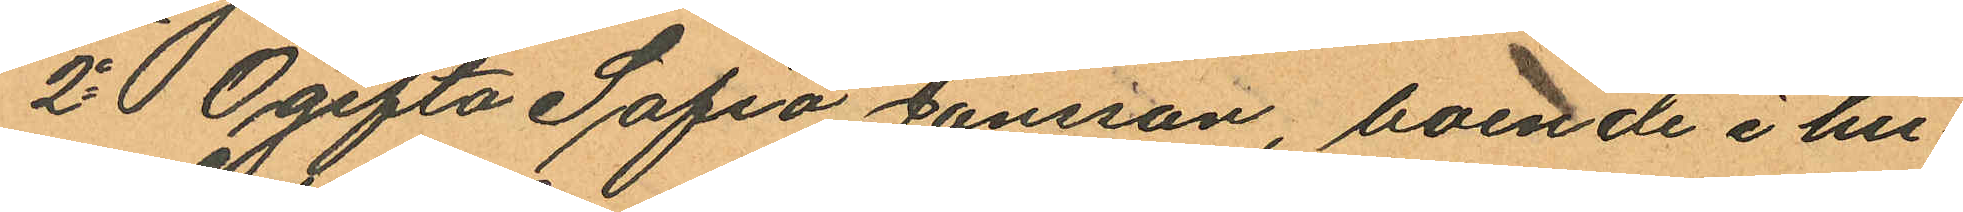2o Ogifta Sofia Jönsson, boende i hu¬
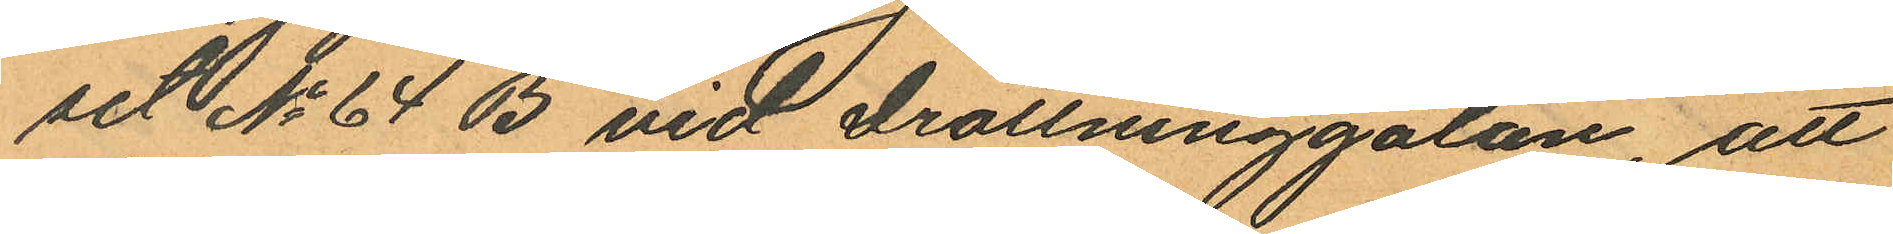set No 64 B vid Drottninggatan, att
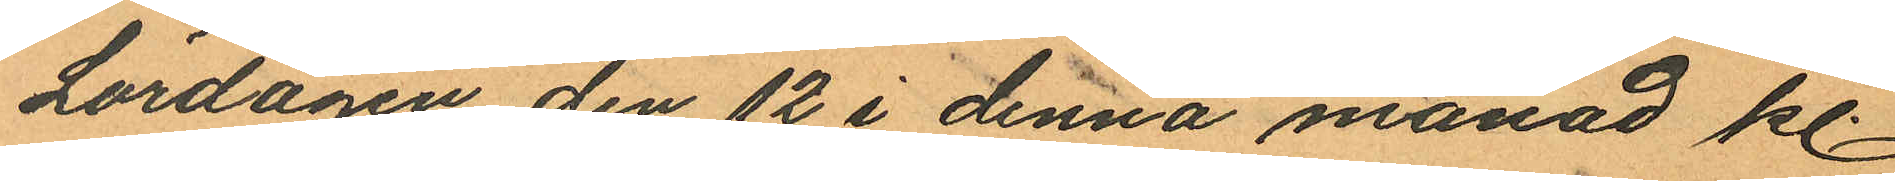Lördagen den 12 i denna månad kl.
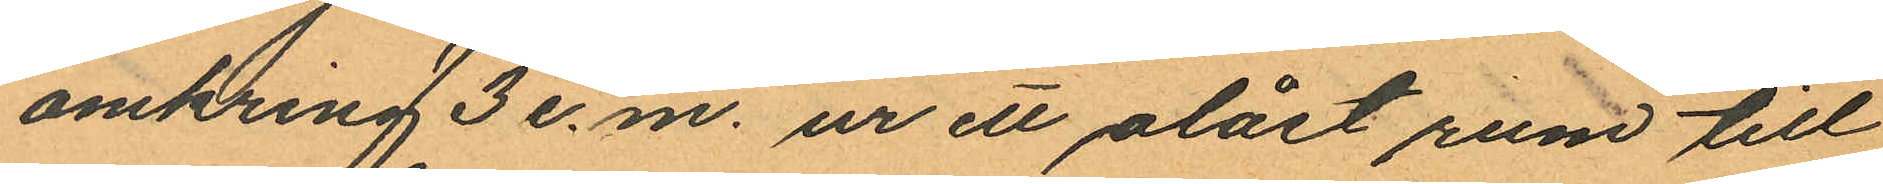omkring 3 e.m. ur ett olåst rum till
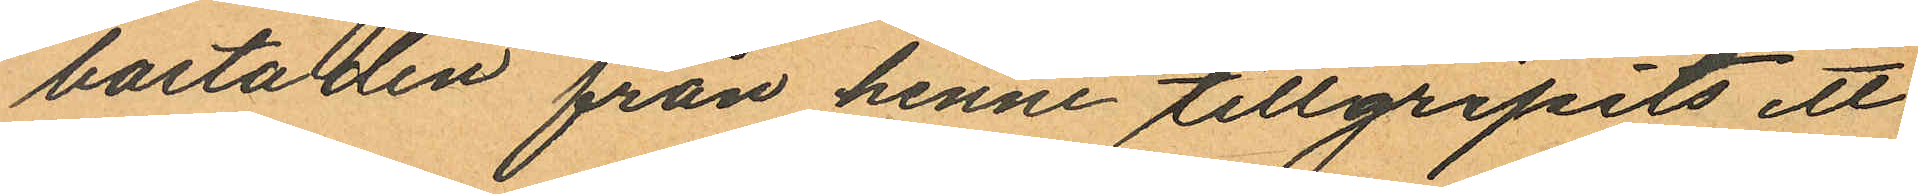bostaden från henne tillgripits ett
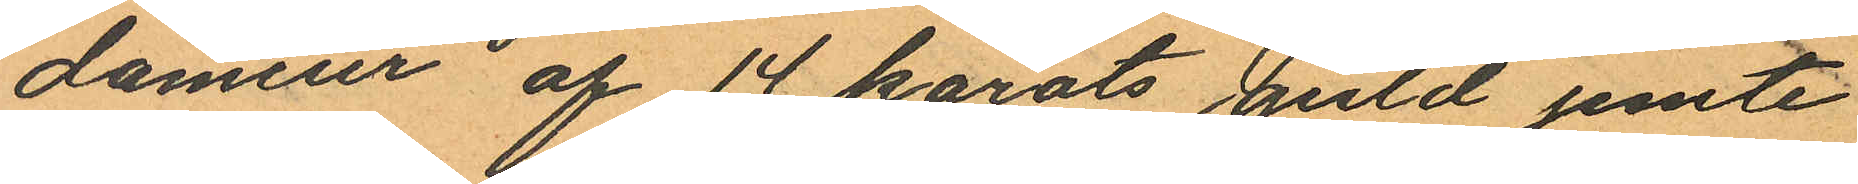dameur af 14 karats guld jemte
